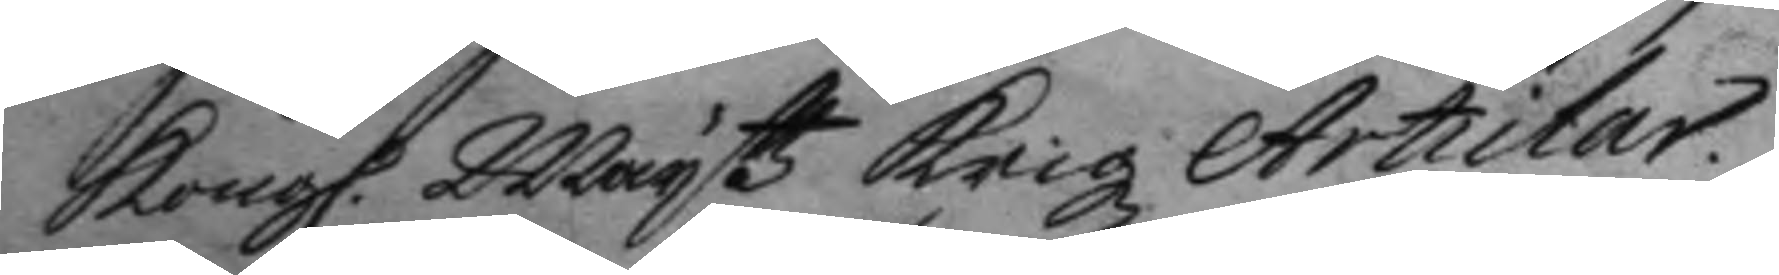Kong. Mayttz Krigz Articlar. 
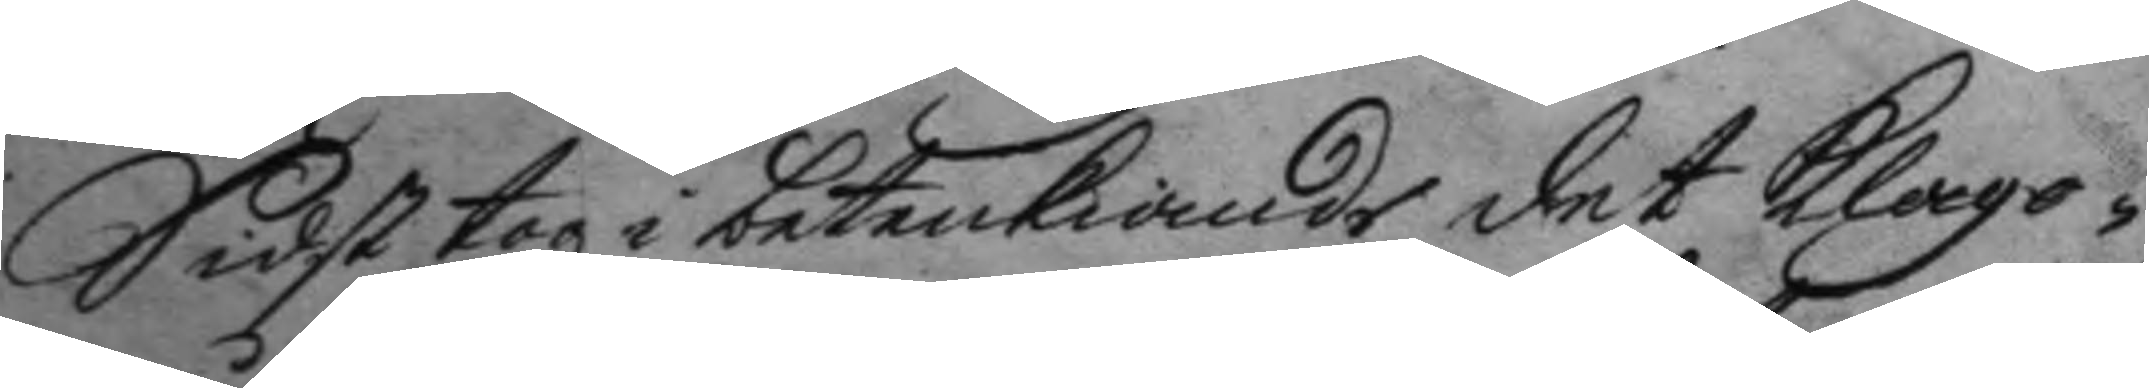Sidst togz i betenkiande det klago¬
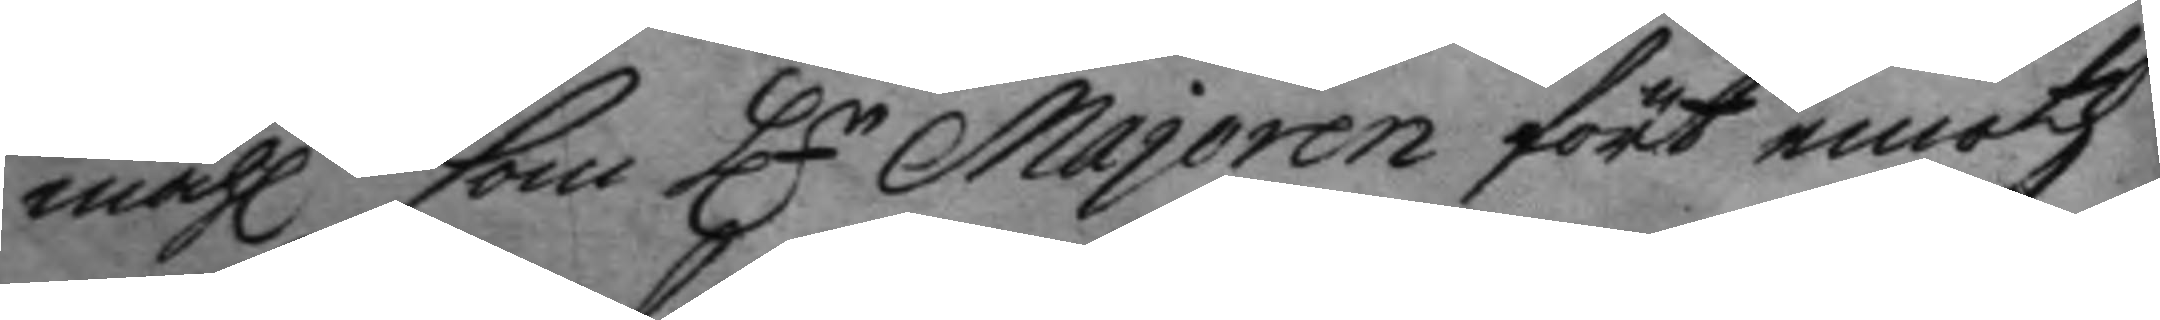måhl som Hr Majoren fört emoth 
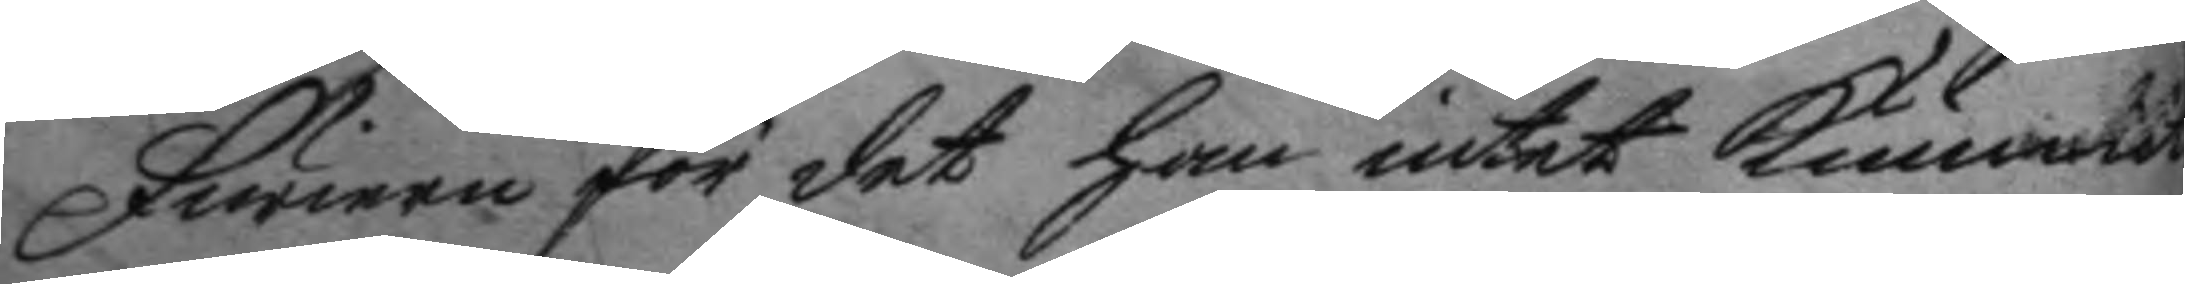furiern för det han intet kunnat
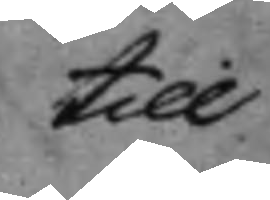till
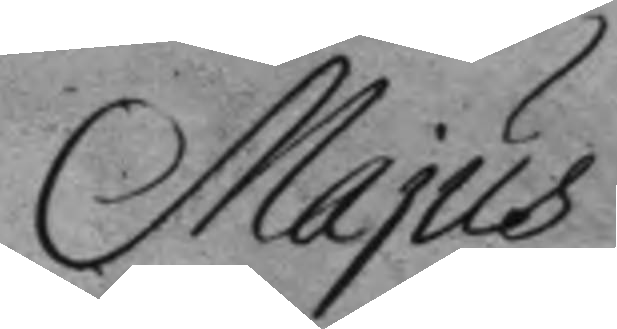Majus
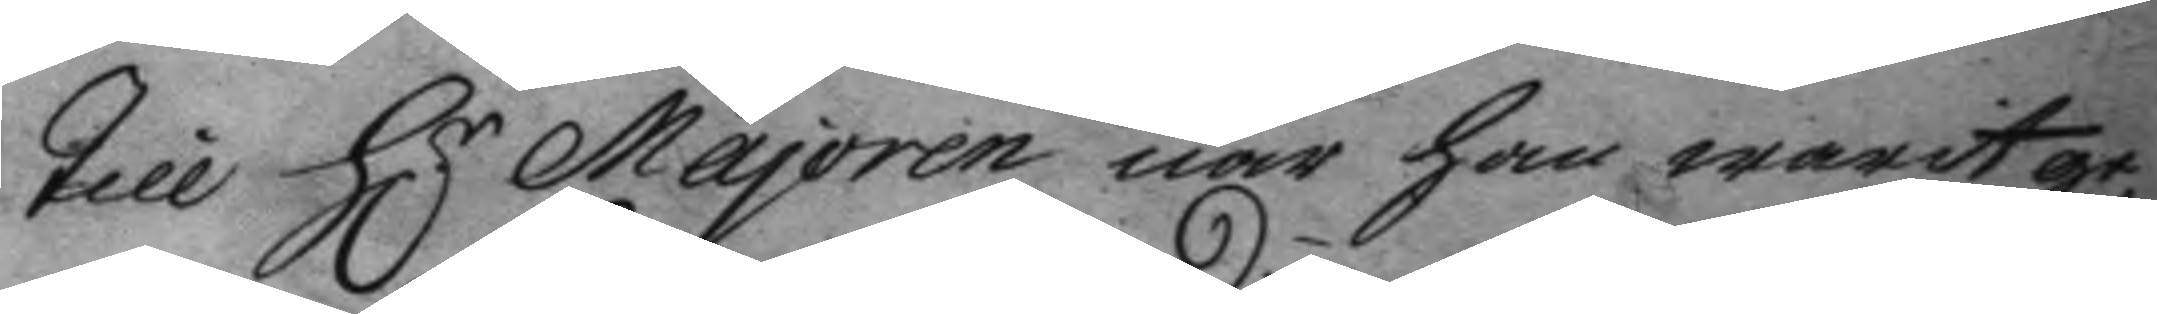till H.r Majoren när han warit ge¬ 
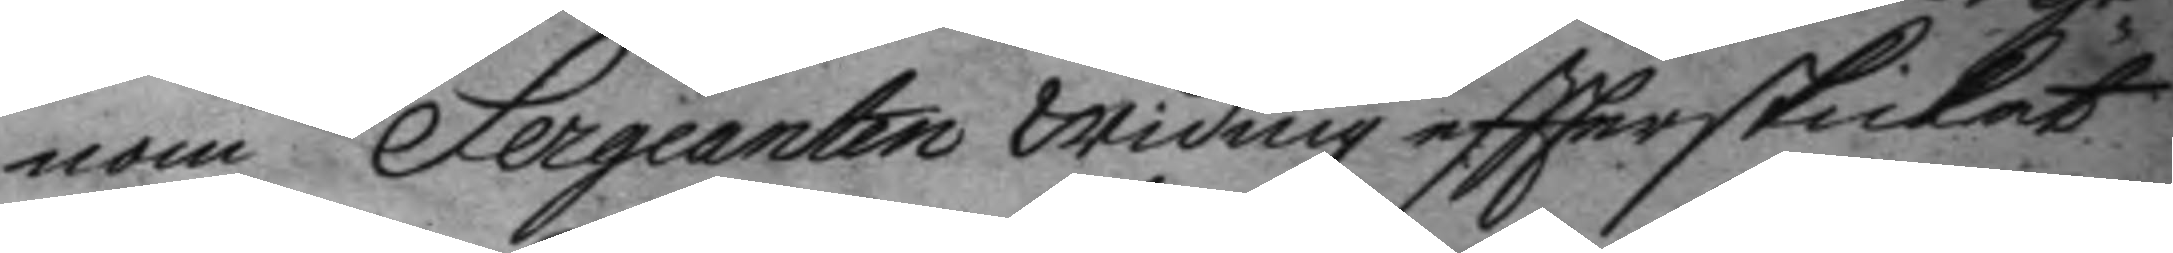nom Sergeanten Widing eftterskickat.
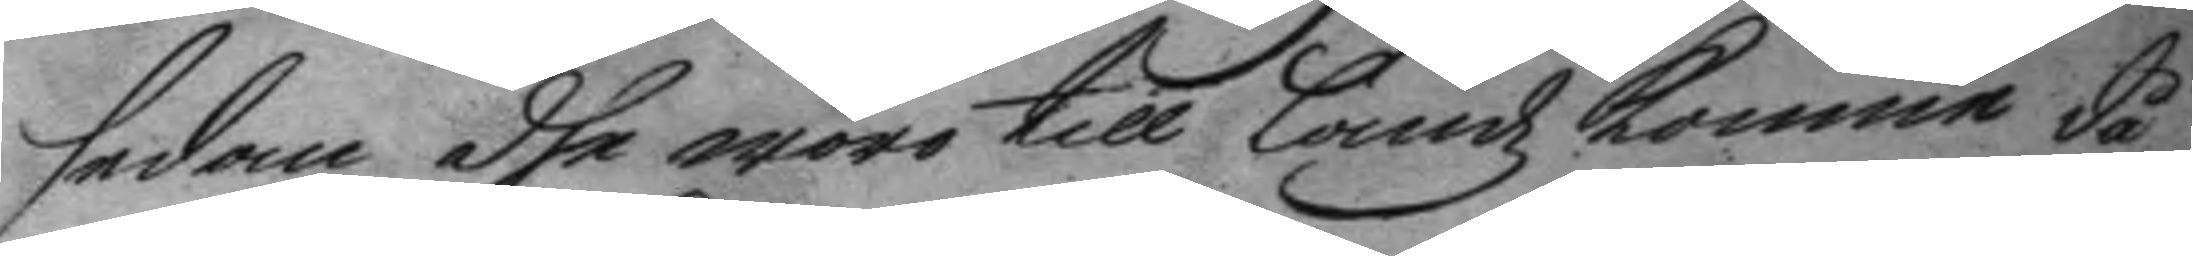sedan dhe woro till Landz komne då
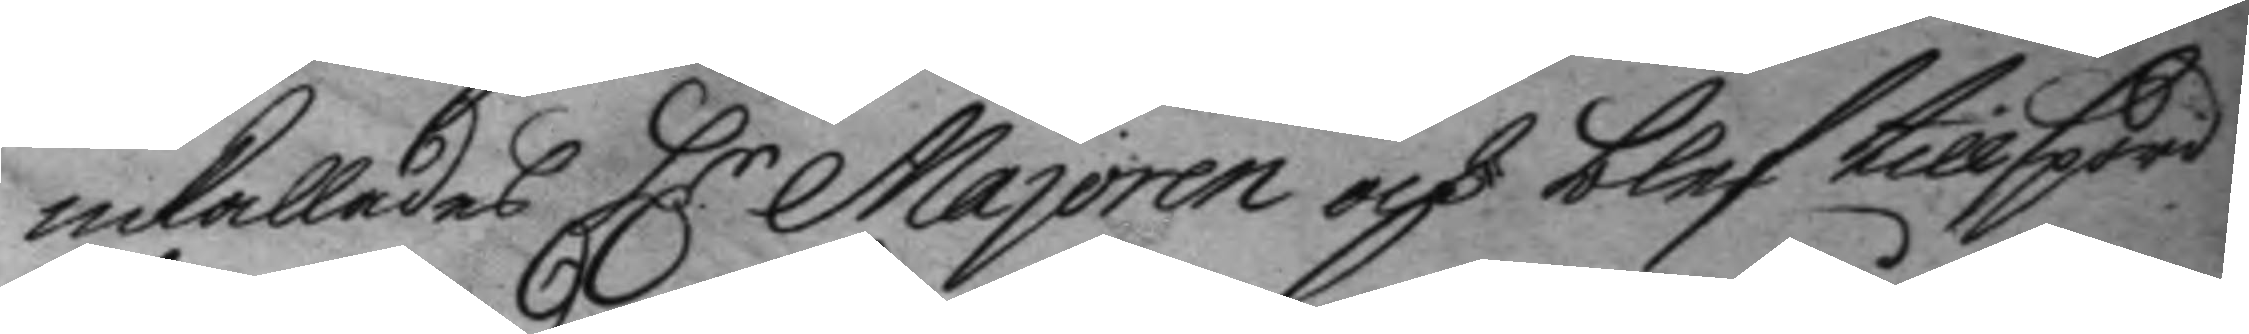inkallades H:r Majoren och blef tillspord 
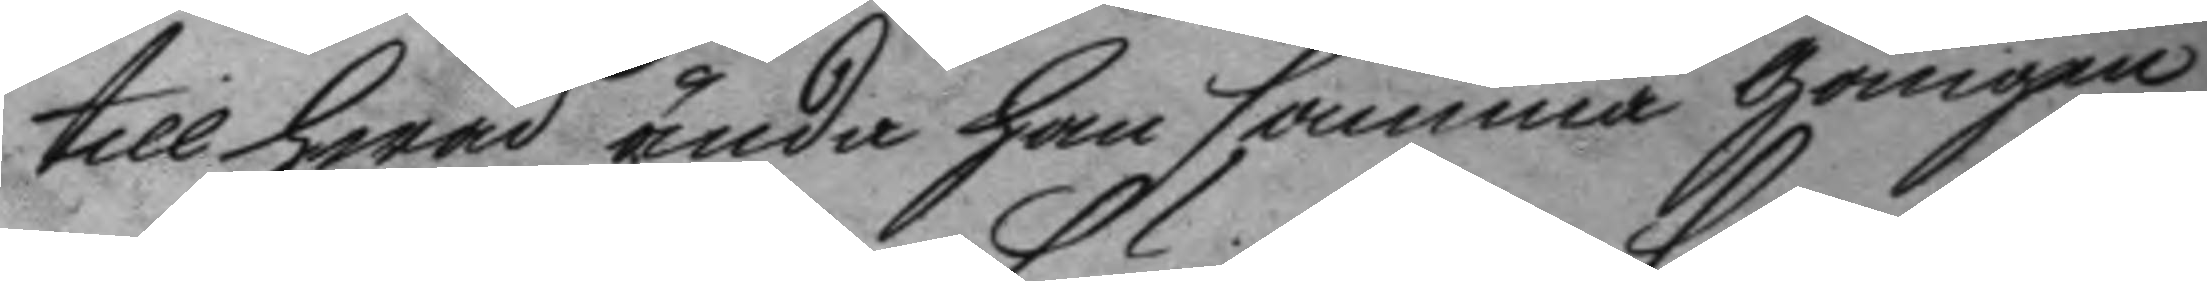till hwad ända han samma gången
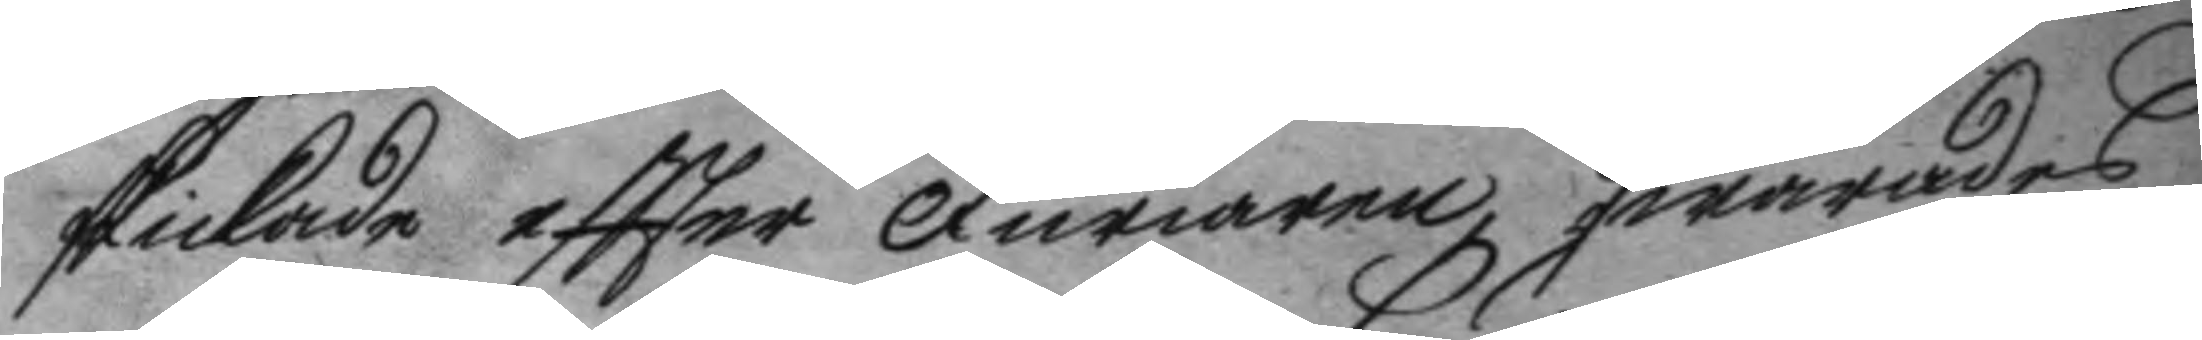skickade eftter Furiaren? swarades
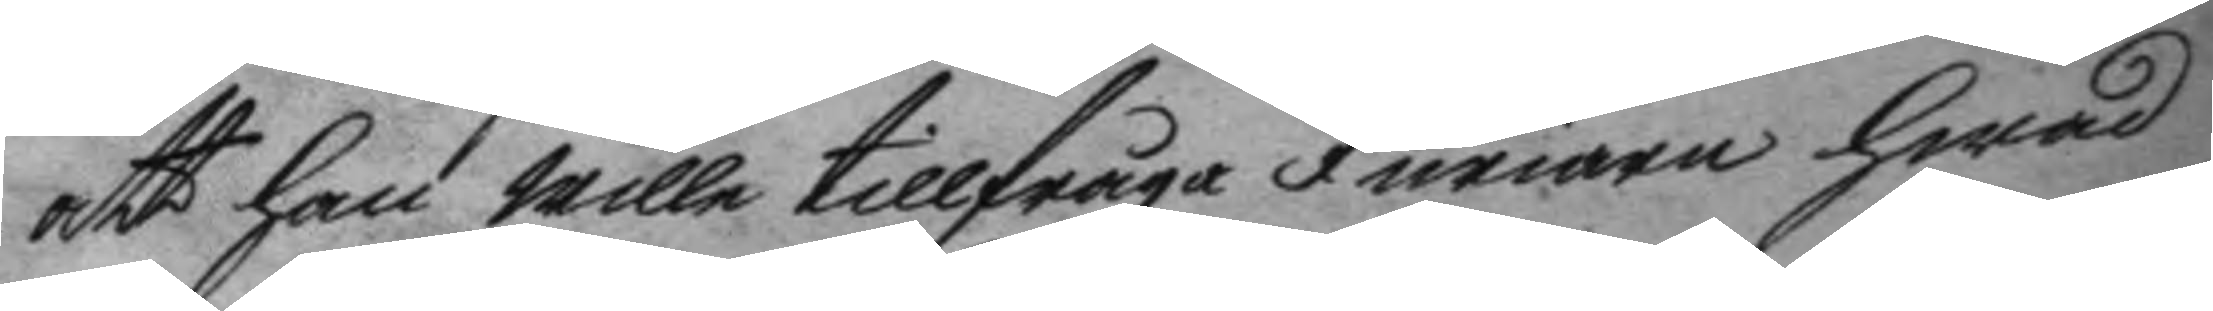att han wille tillfråga Furiarn hwad
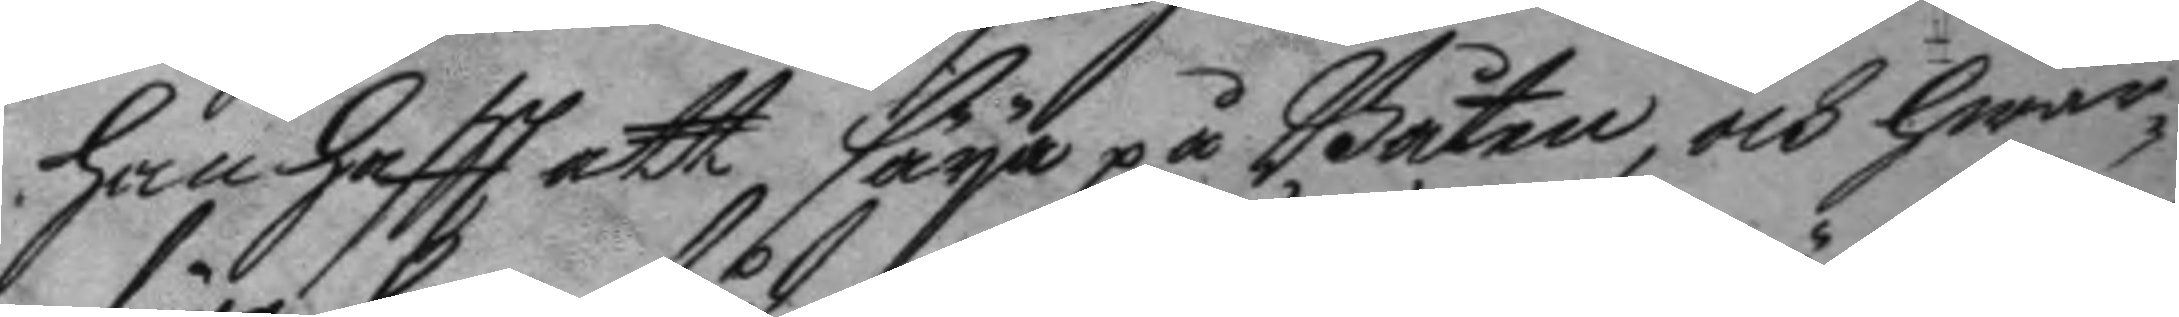han haftt att säya på Båten, och hwar¬
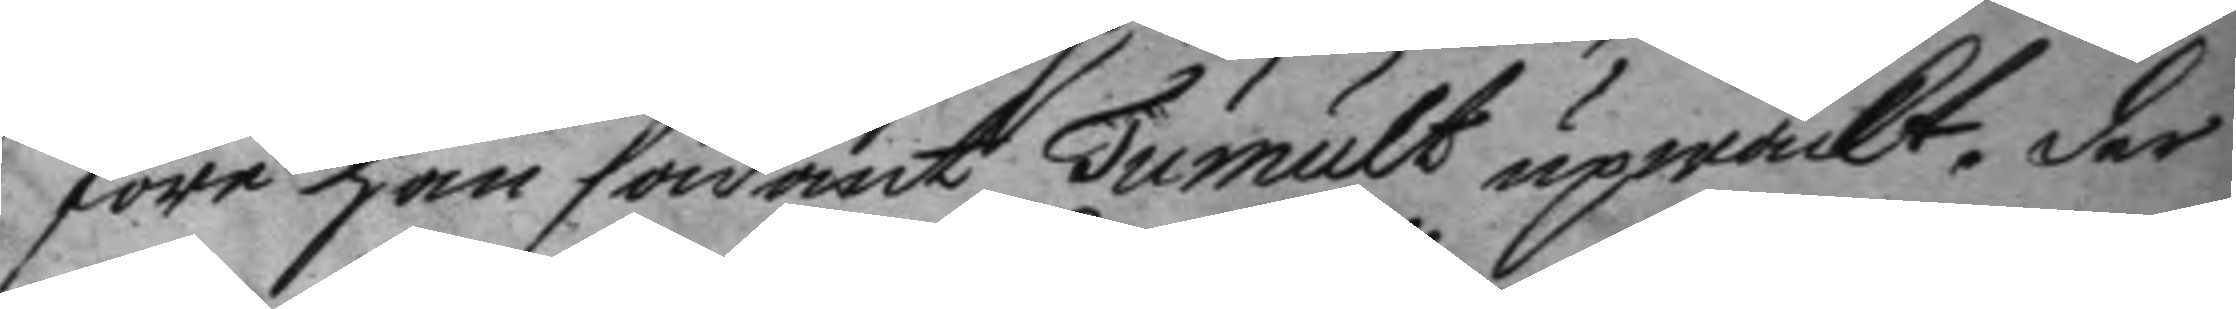före han sådant Tumult upwäckt, der
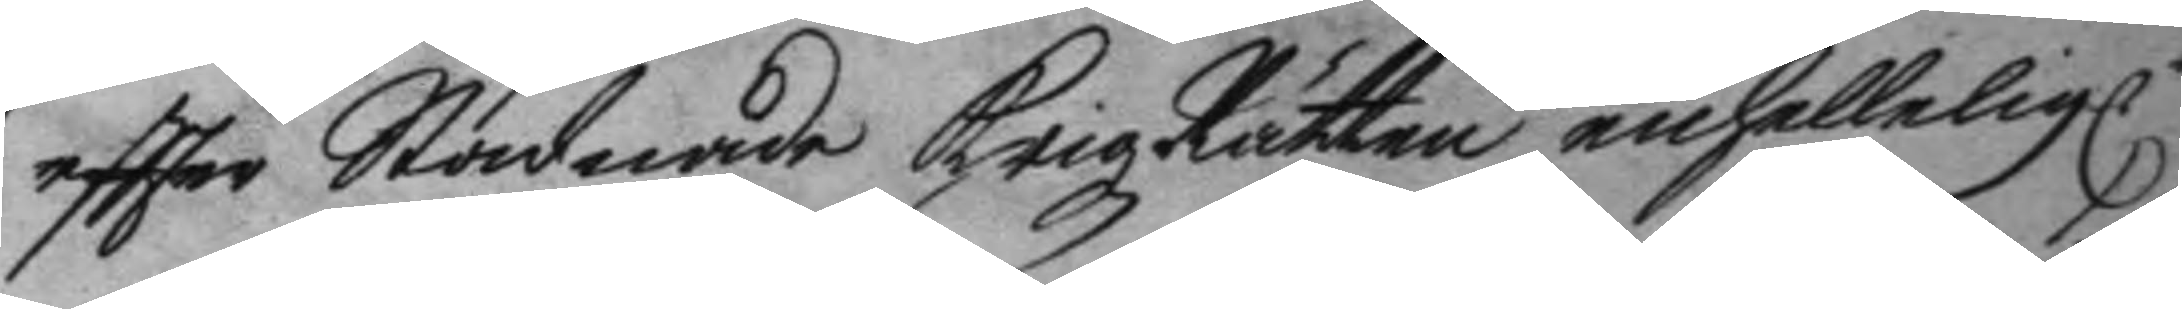eftter Stadnade KrigzRätten enhällelig.n
